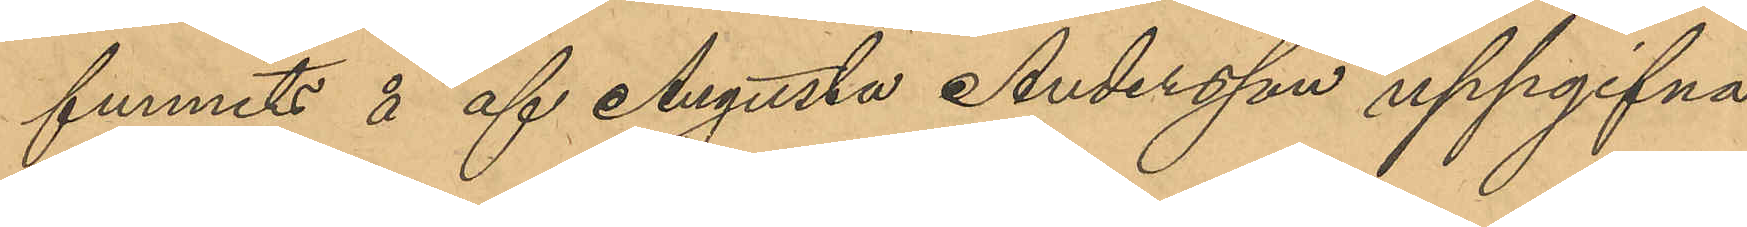funnits å af Augusta Andersson uppgifna
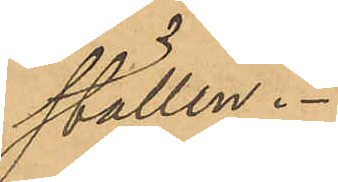ställen.
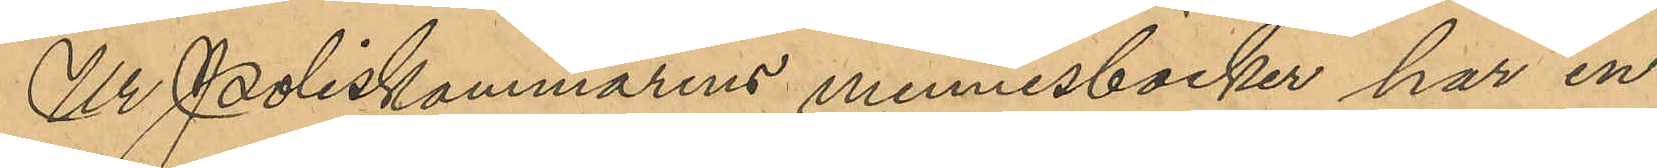Ur Poliskammarens minnesböcker har in¬
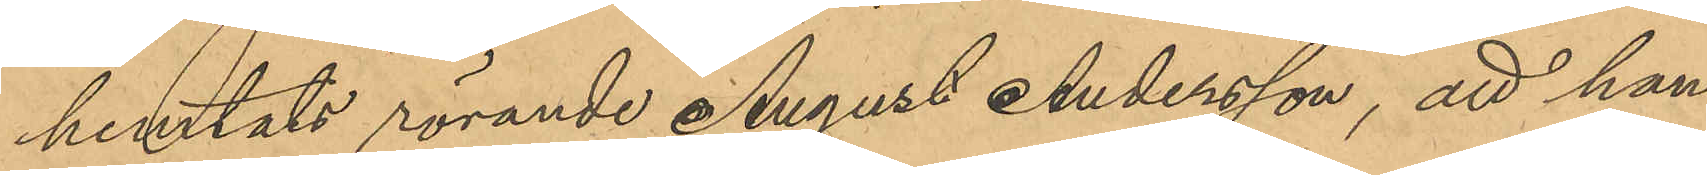hemtats rörande August Andersson, att han
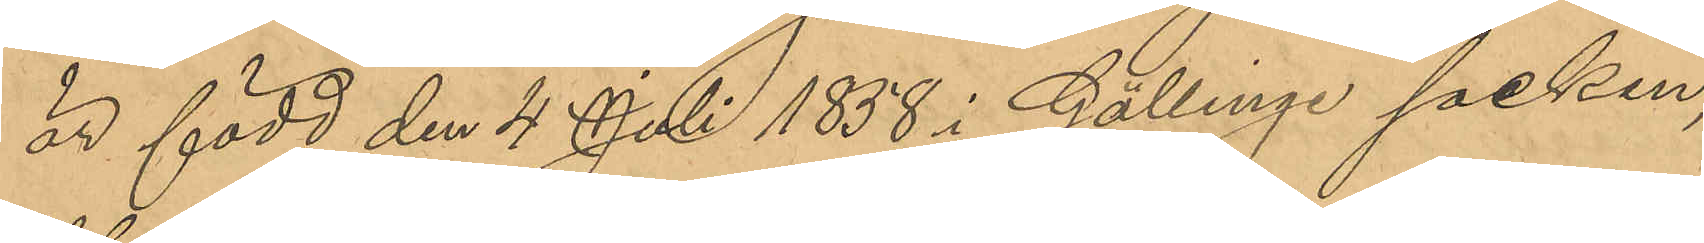är född den 4 Juli 1858 i Gällinge socken
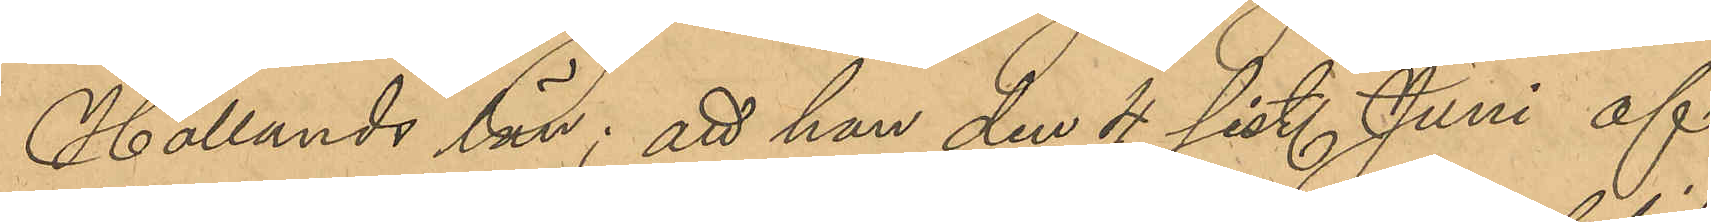Hallands län; att han den 4 sist. Juni af
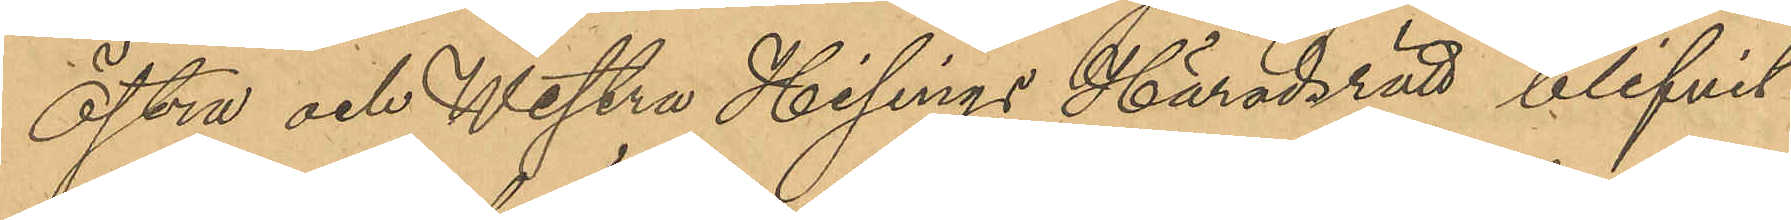Östra och Westra Hisings Häradsrätt blifvit
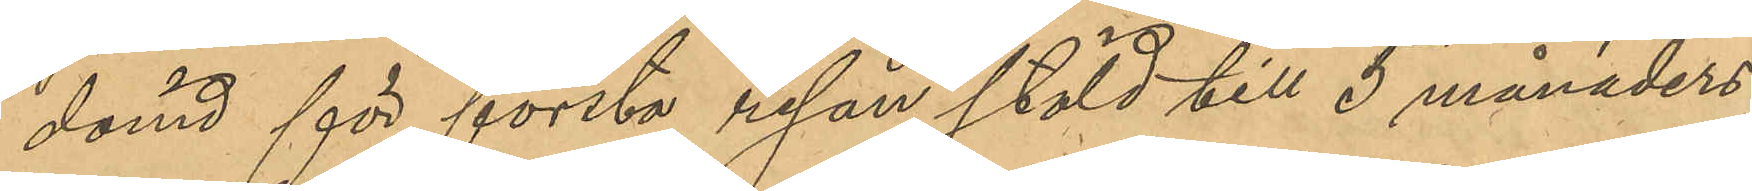dömd för första resan stöld till 5 månaders
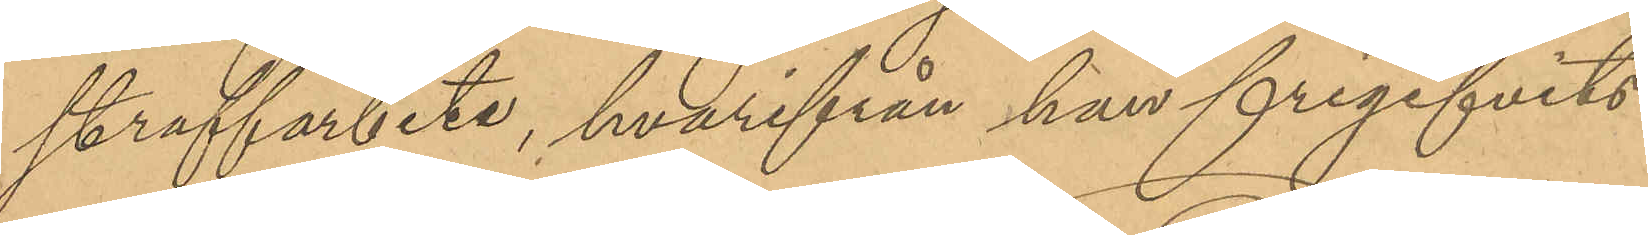straffarbete, hvarifrån han frigifvits
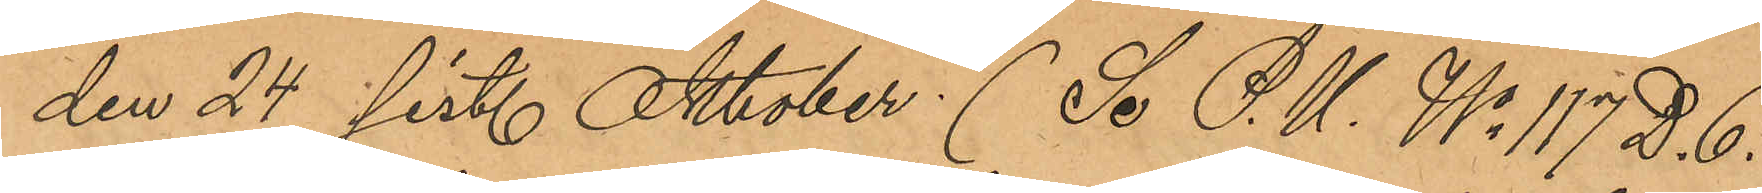den 24 sist. Oktober (Se P. U. No 117 D. 6.
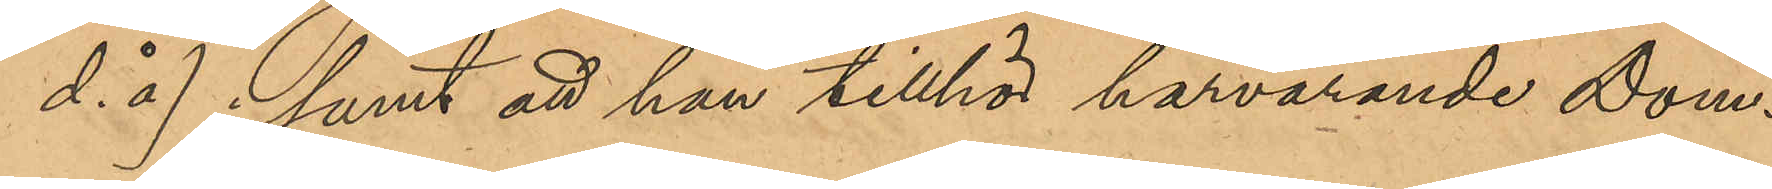d. å); samt att han tillhör härvarande Dom¬
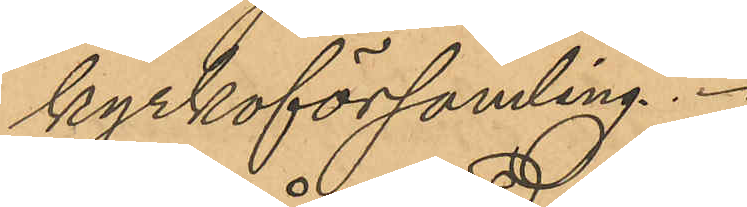kyrkoförsamling.
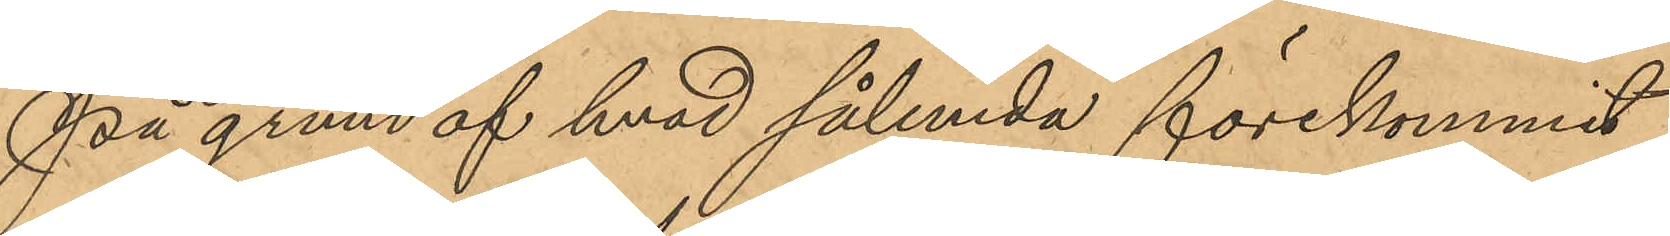På grund af hvad sålunda förekommit
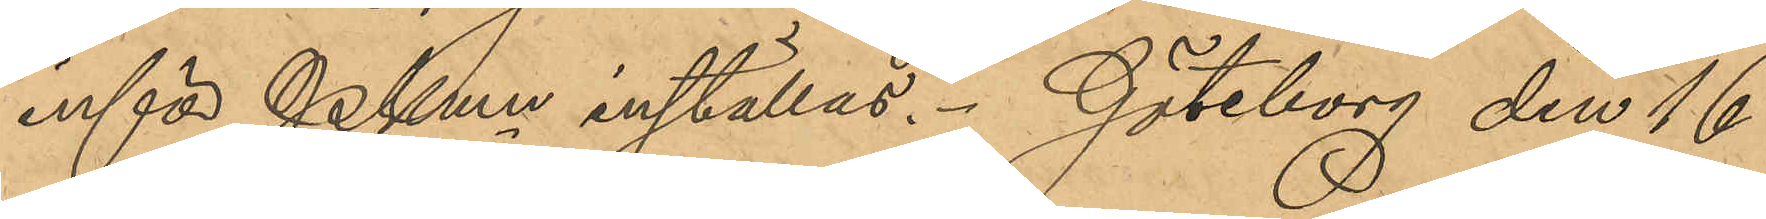inför PKmn inställas. Göteborg den 16
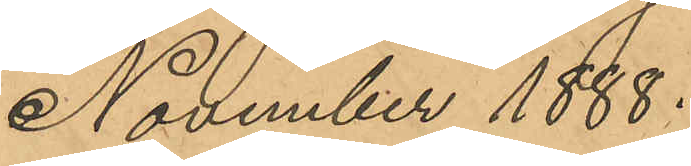November 1888.
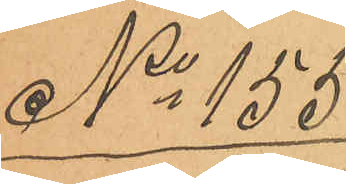No 155
